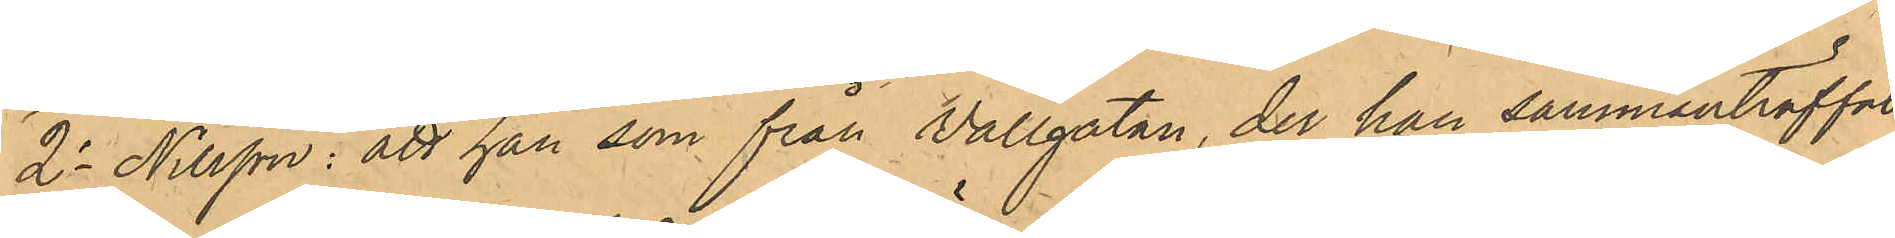2o Nilsson: att han som från Vallgatan, der han sammanträffat
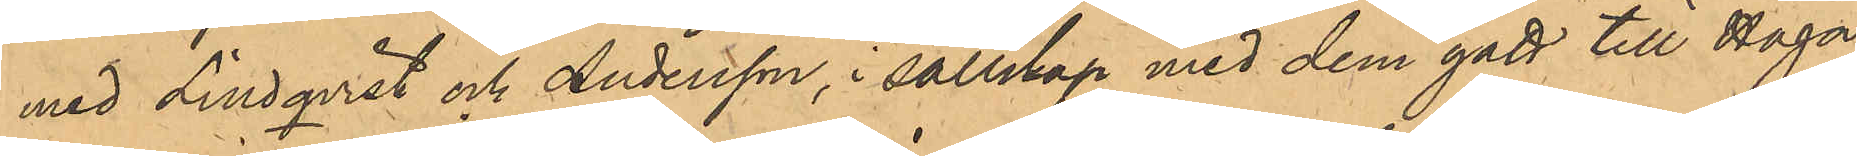med Lindqvist och Andersson, i sällskap med dem gått till Haga,
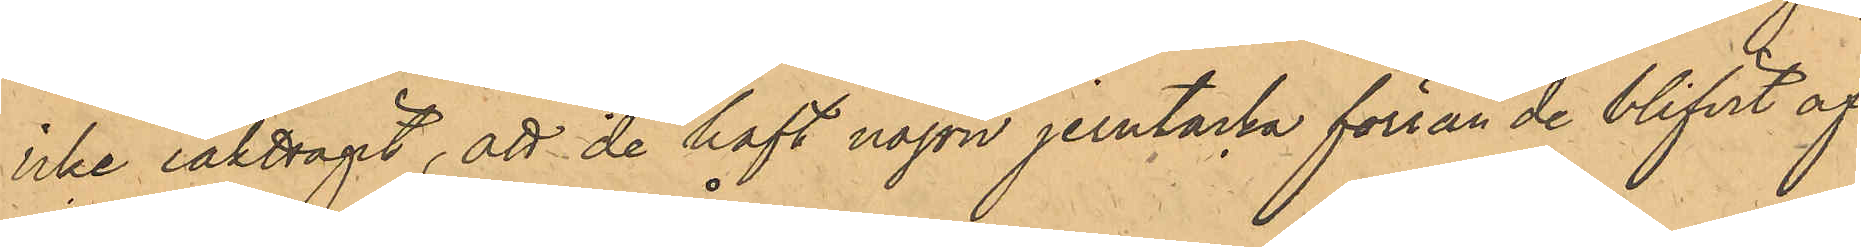icke iakttagit, att de haft någon jerntacka förrän de blifvit af
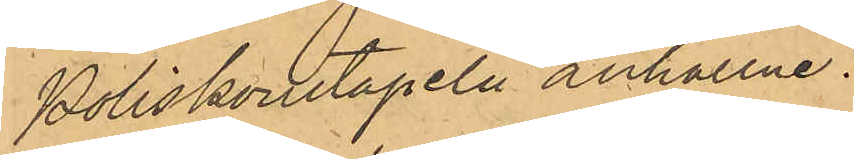Poliskonstapeln anhållne.
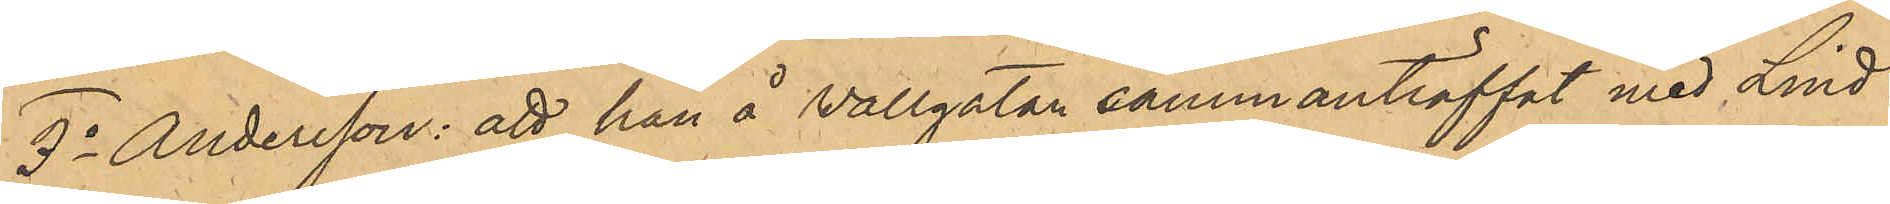3o Andersson: att han å Vallgatan sammanträffat med Lind¬
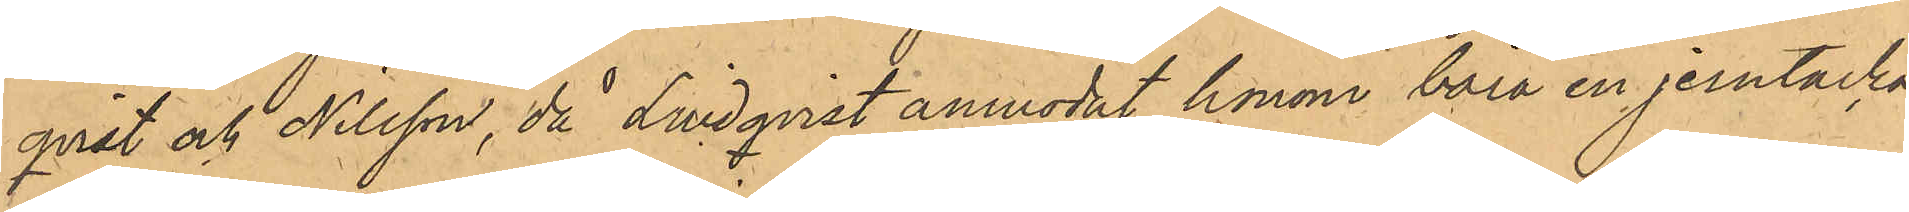qvist och Nilsson, då Lindqvist anmodat honom bära en jerntacka,
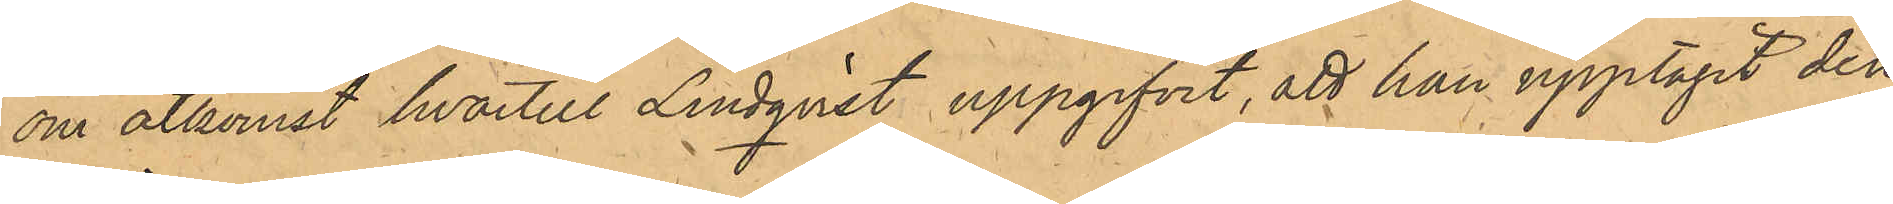om åtkomst hvartill Lindqvist uppgifvit, att han upptagit den
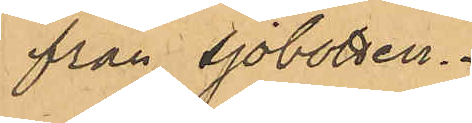från sjöbotten.
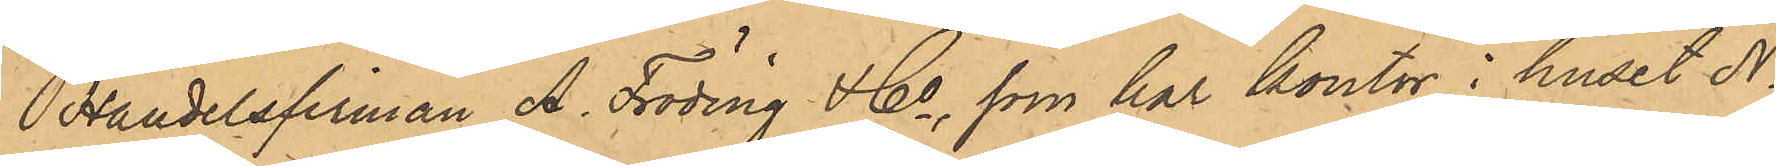Handerlsfirman A. Fröding & Co, som har kontor i huset No
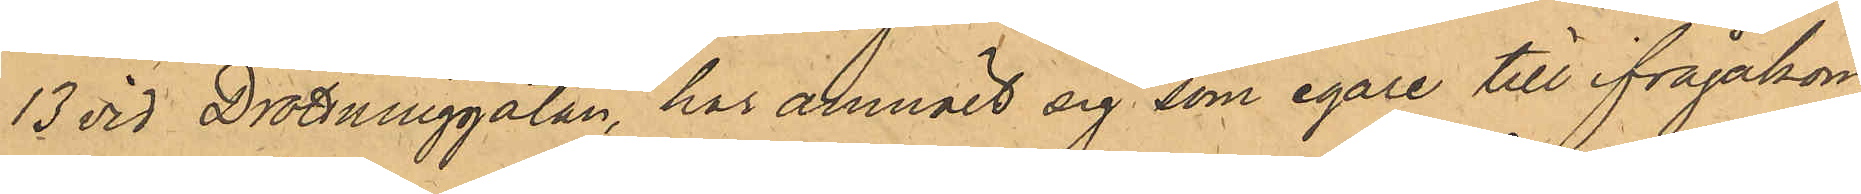13 vid Drottninggatan, har anmält sig som egare till ifrågakom¬
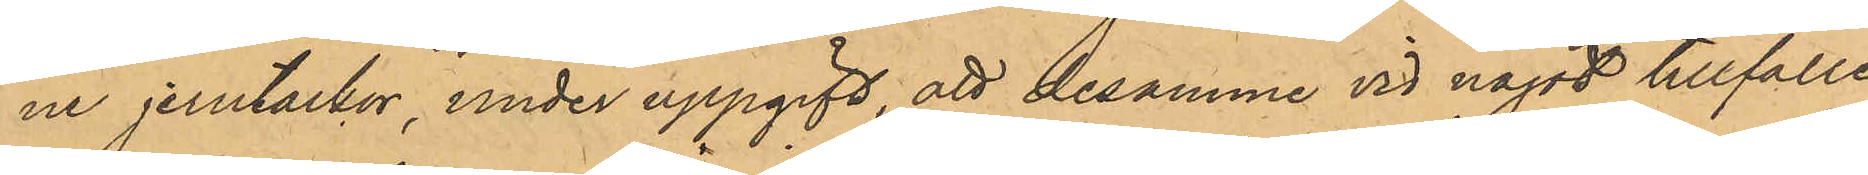ne jerntackor under uppgift, att desamma vid något tillfälle
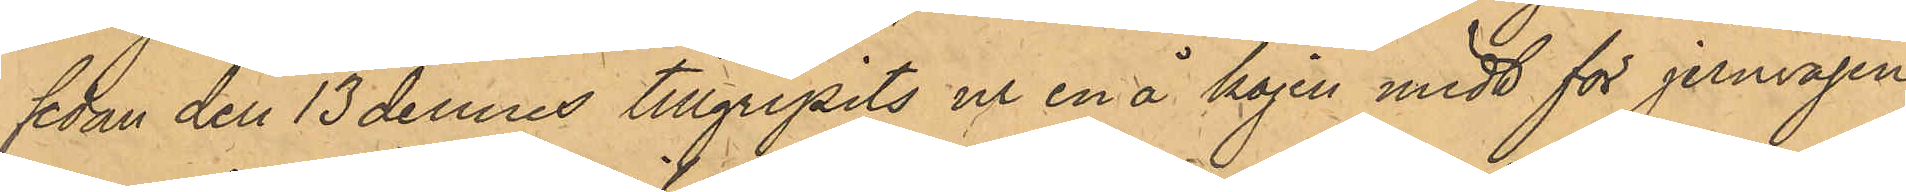sedan den 13 dennes tillgripits ur en å kajen midt för jernvågen
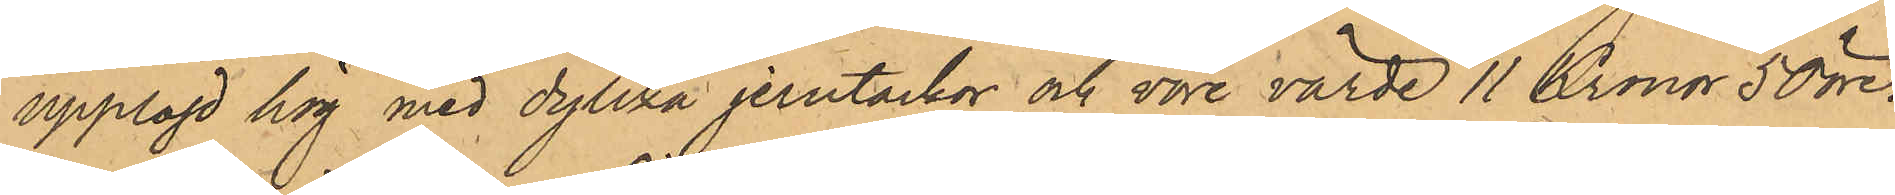upplagd hög med dylika jerntackor och vore värde 11 Kronor 50 öre.
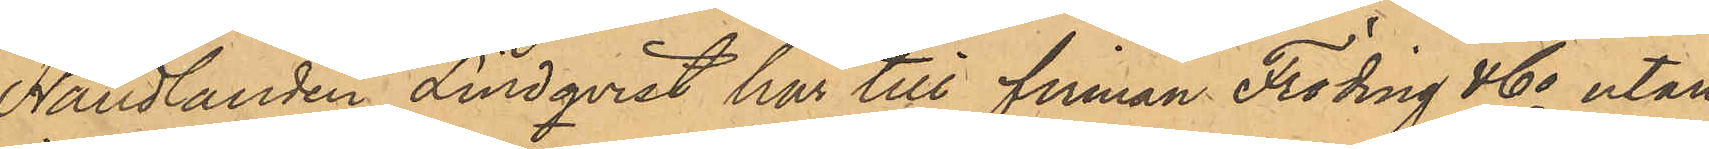Handlanden Lindqvist har till firman Fröding & Co utan
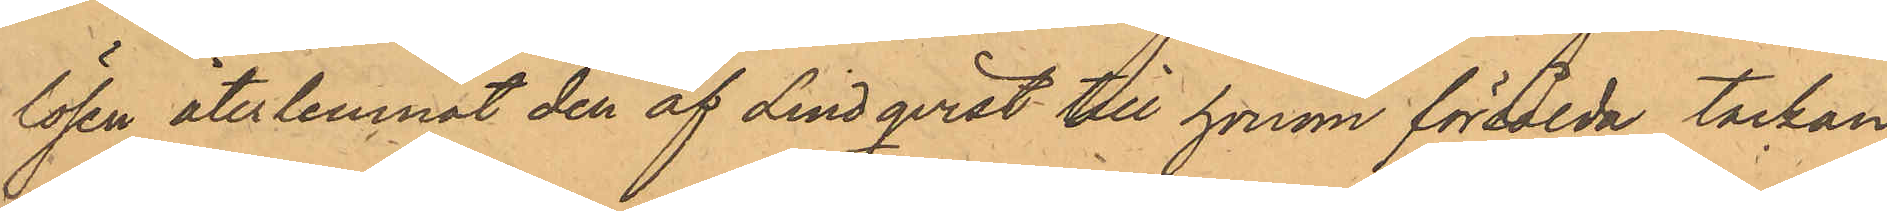lösen återlemnat den af Lindqvist till honom försålda tackan.
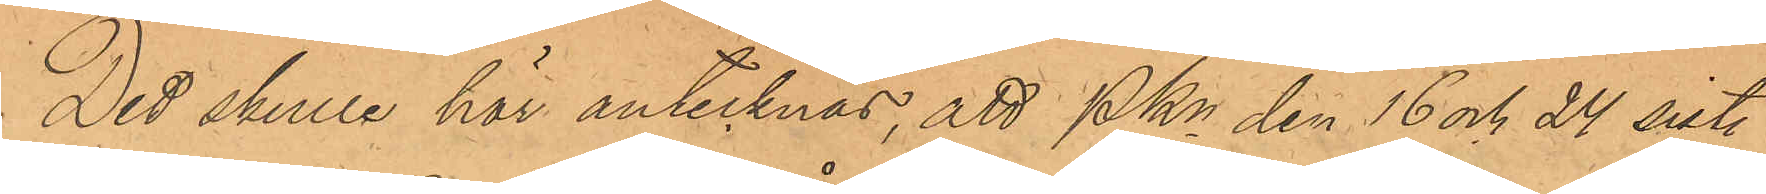Det skulle här antecknas, att PKn den 16 och 24 sistl.
